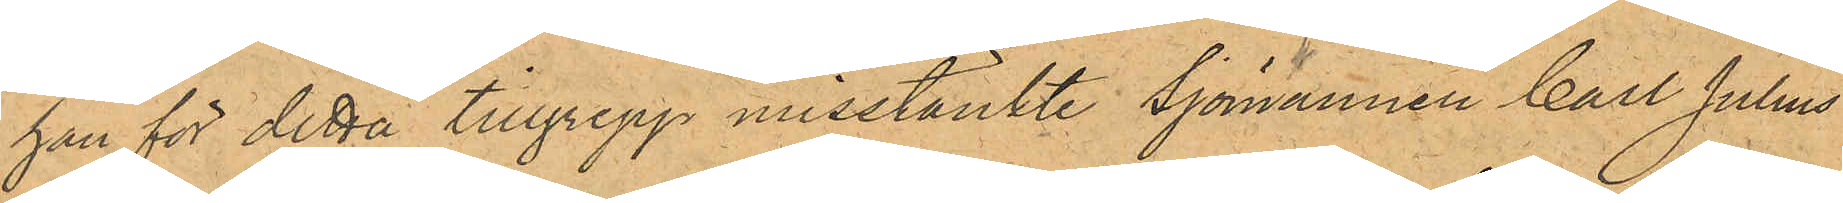han för detta tillgrepp misstänkte Sjömannen Carl Julius
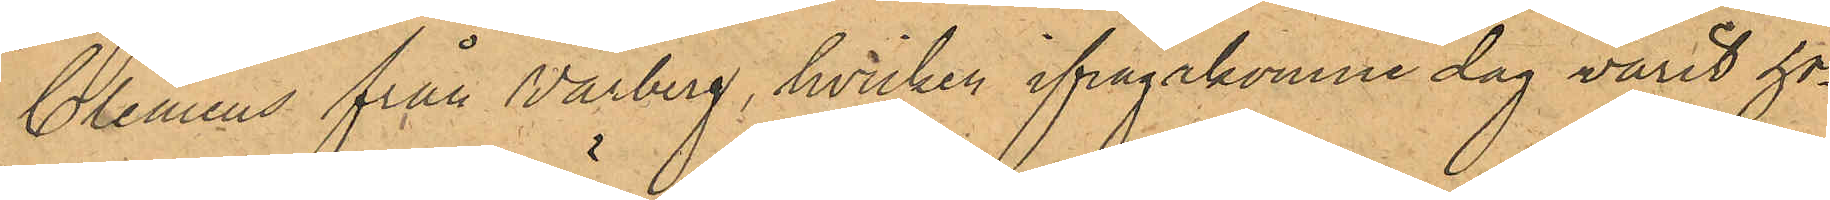Clemens från Varberg, hvilken ifrågakomne dag varit ho¬
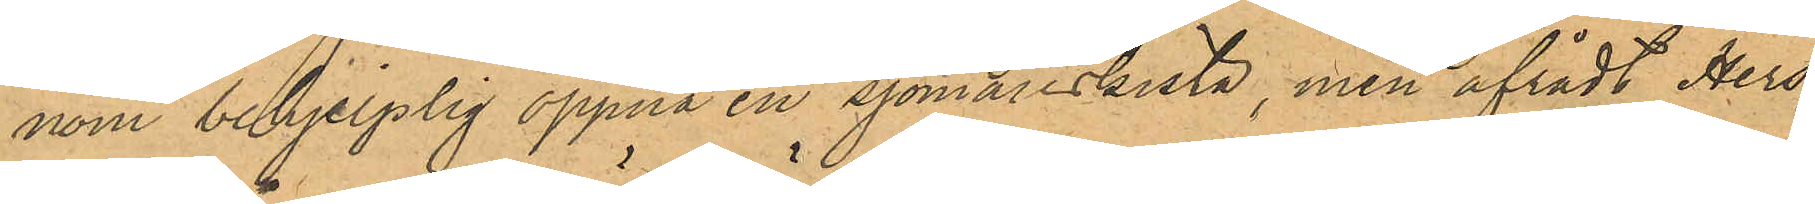nom behjelplig öppna en sjömanskista, men afrådt Hers¬
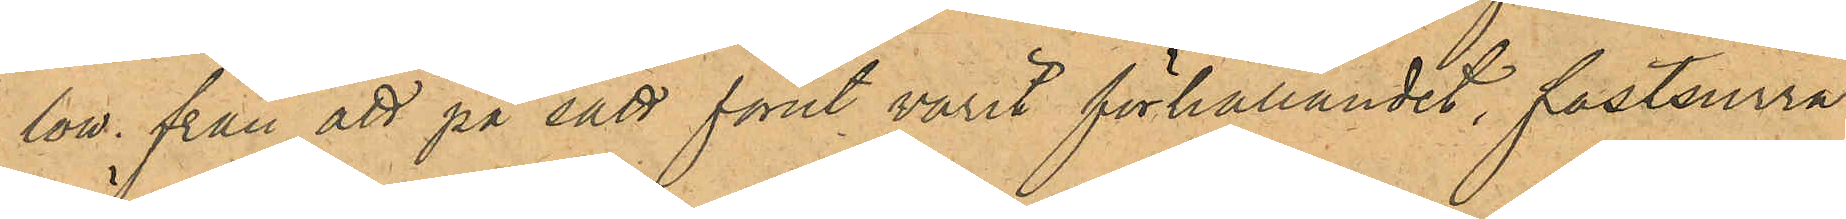low från att på sätt förut varit förhållandet, fastsurra
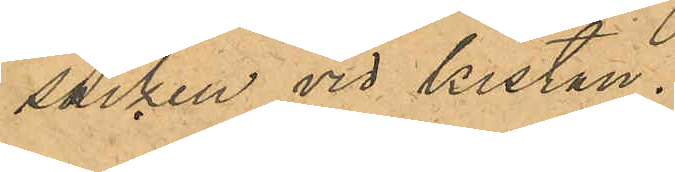säcken vid kistan.
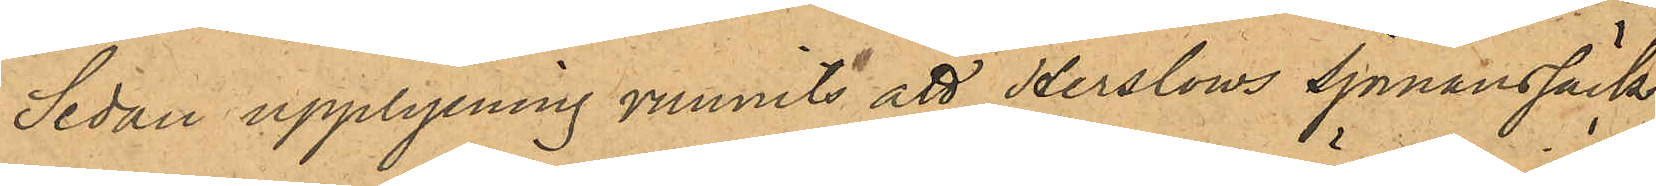Sedan upplysning vunnits att Herslows sjömanssäck
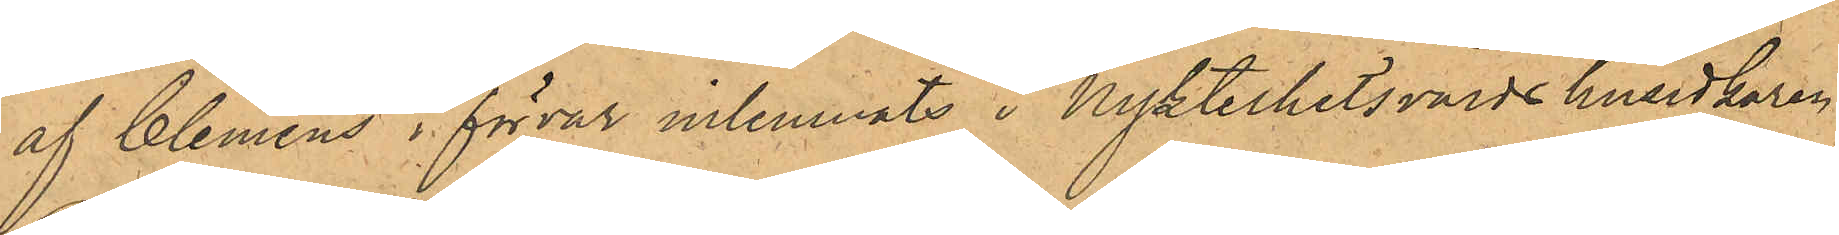af Clemens i förvar inlemnats i Nykterhetsvärdshusidkaren
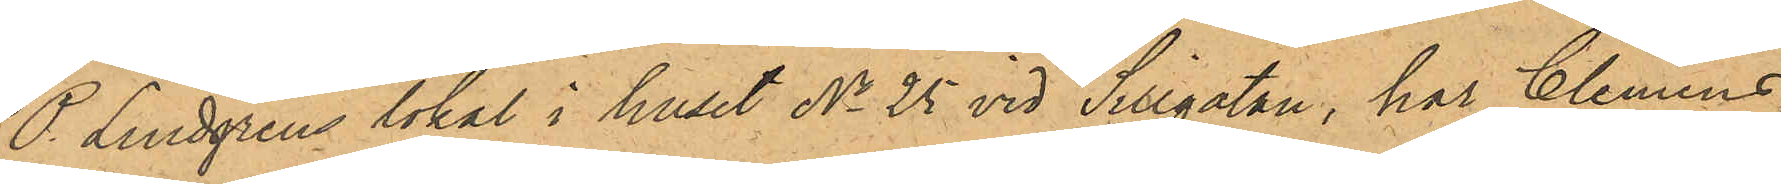P. Lindgrens lokal i huset No 25 vid Sillgatan, har Clemens,
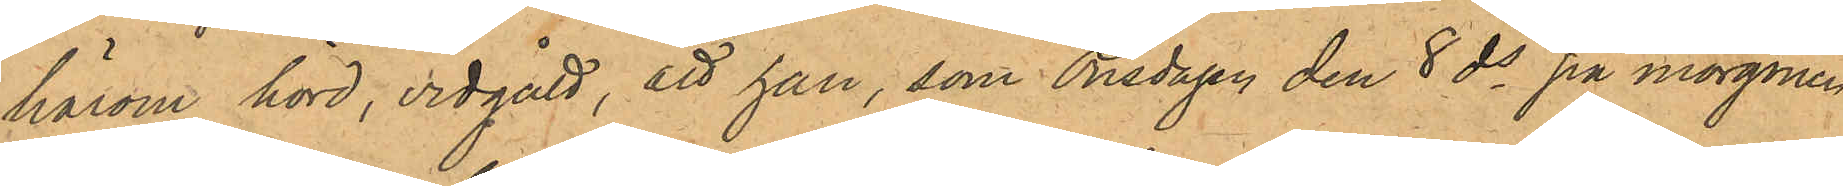härom hörd, vidgått, att han, som Onsdagen den 8 ds på morgonen
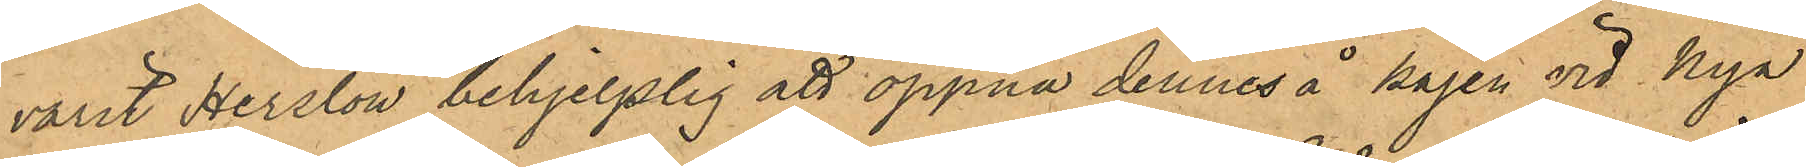varit Herslow behjelplig att öppna dennes å kajen vid Nya
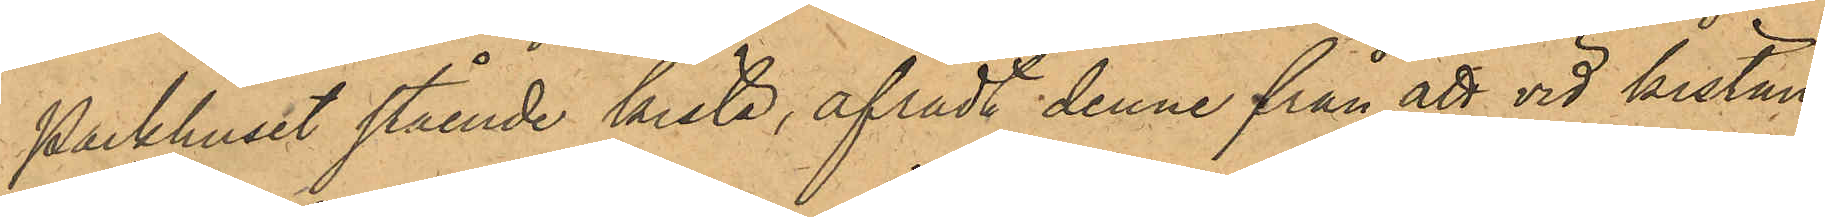Packhuset stående kista, afrådt denne från att vid kistan
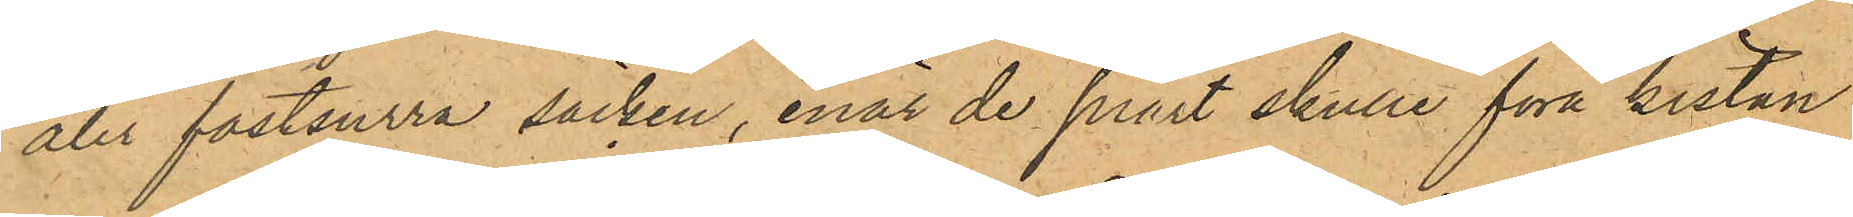åter fastsurra säcken, enär de snart skulle föra kistan
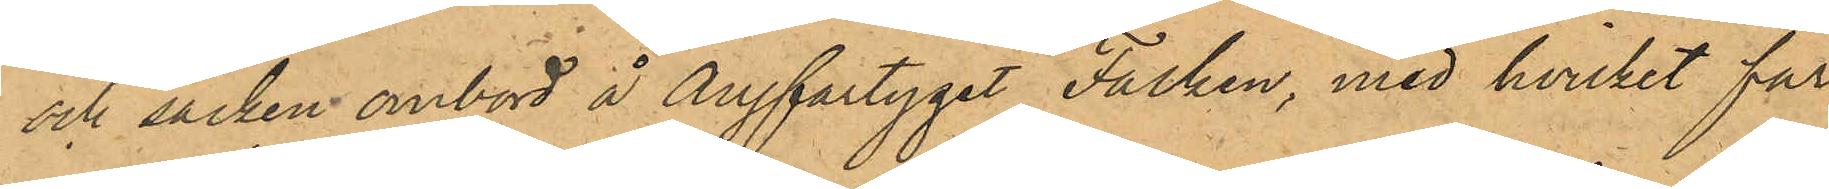och säcken ombord å Ångfartyget Falken, med hvilket far¬
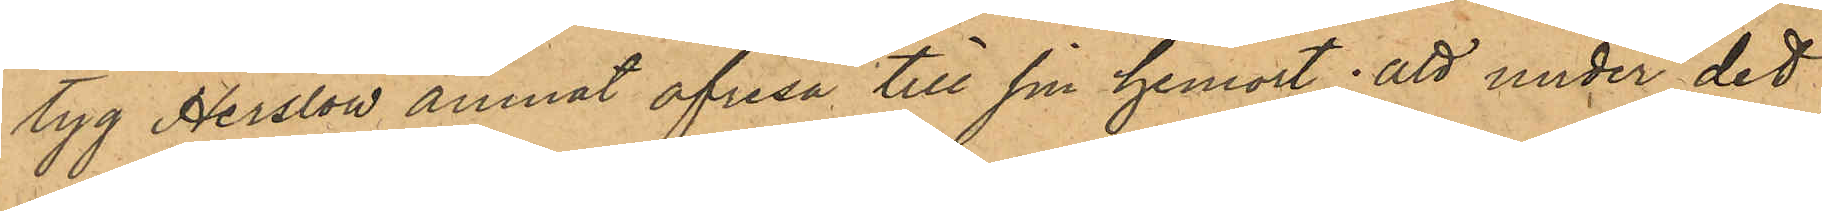tyg Herslow ämnat afresa till sin hemort; att under det
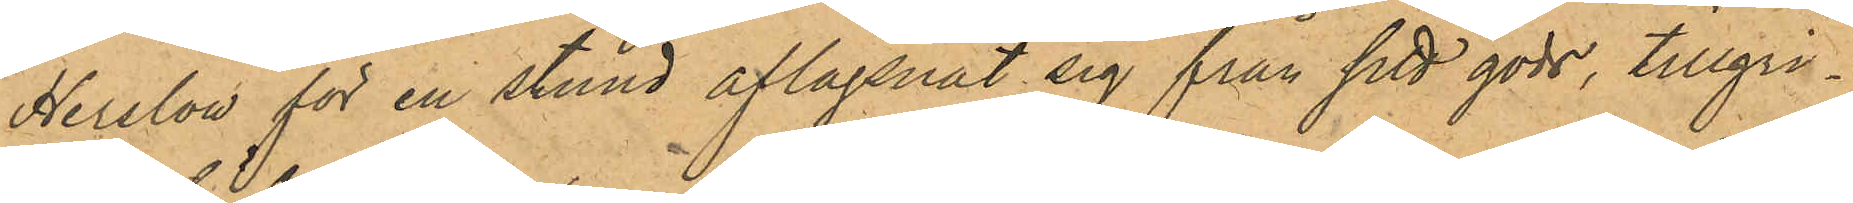Herslow för en stund aflägsnat sig från sitt gods, tillgri¬
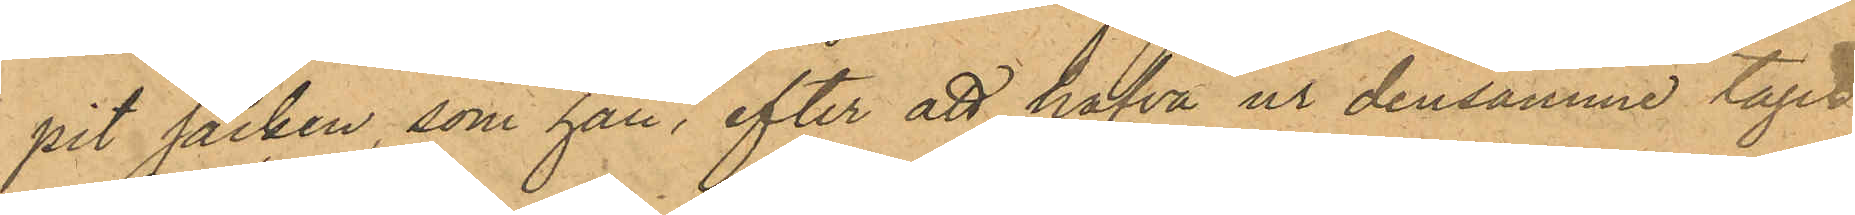pit säcken, som han, efter att hafva ur densamme tagit
